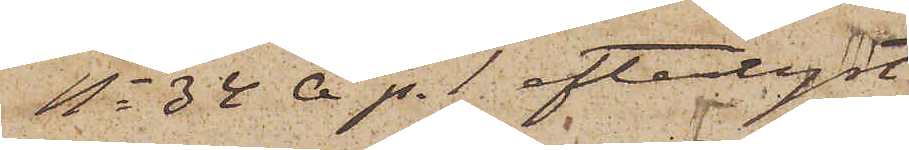No 34 A p. 1 efterlyst.
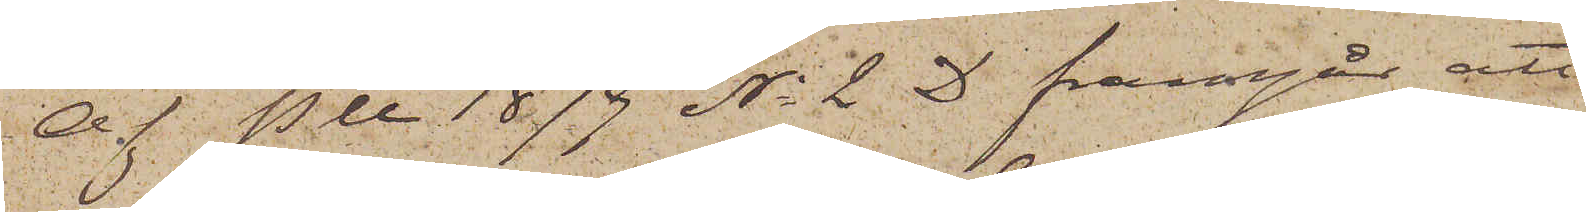Af P U 1879 No 2 D framgår att
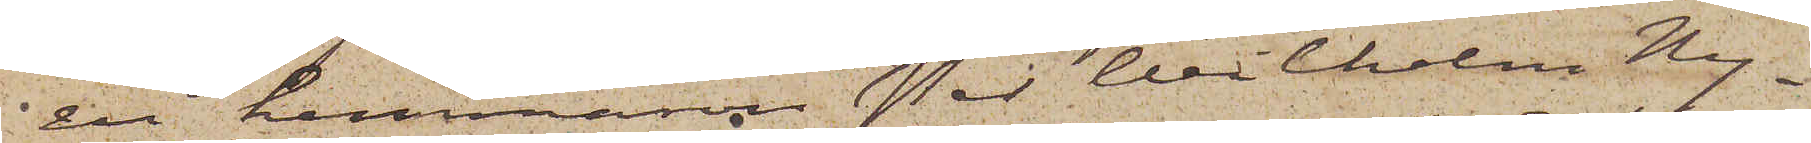en hemmason Per Wilhelm Ny¬
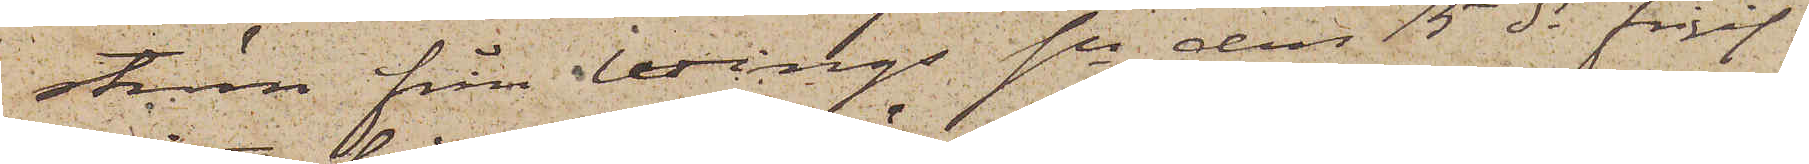ström från Wings sn den 15 ds frigif¬
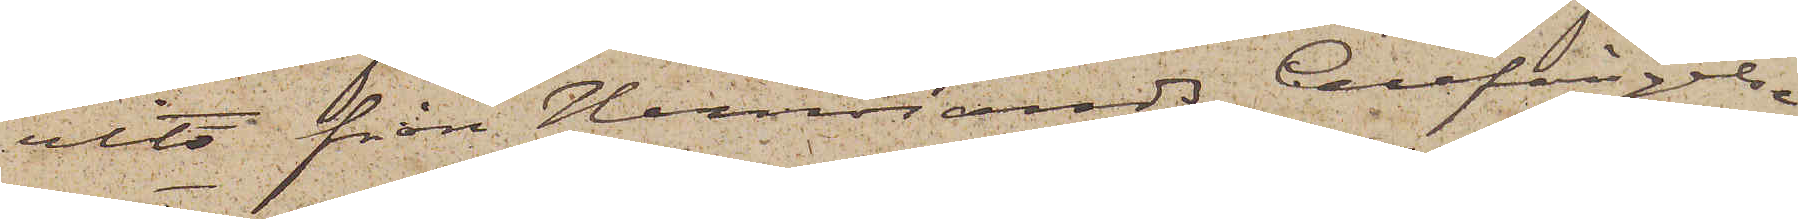vits från Hernösands Cellfängelse
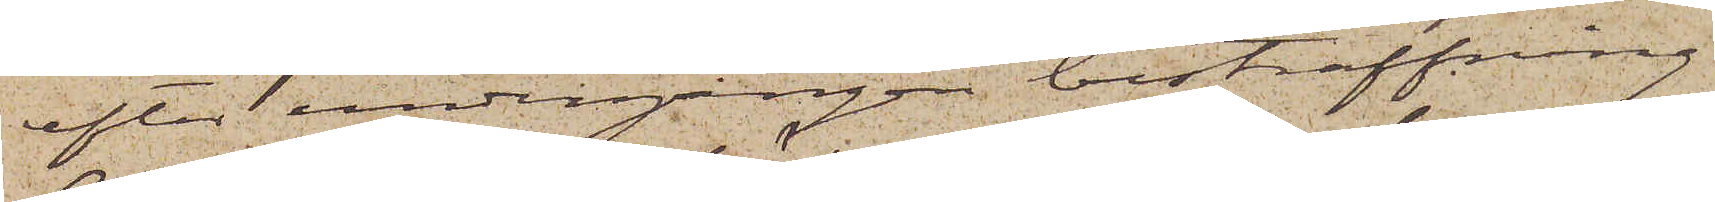efter undergången bestraffning
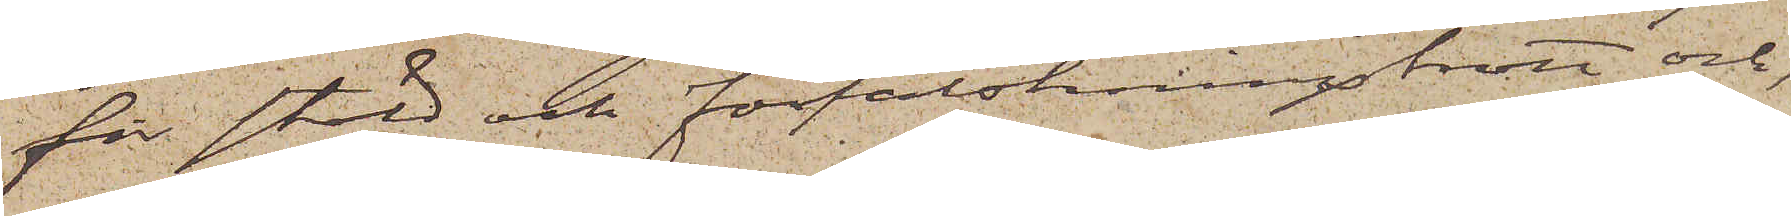för stöld och förfalskningsbrott och
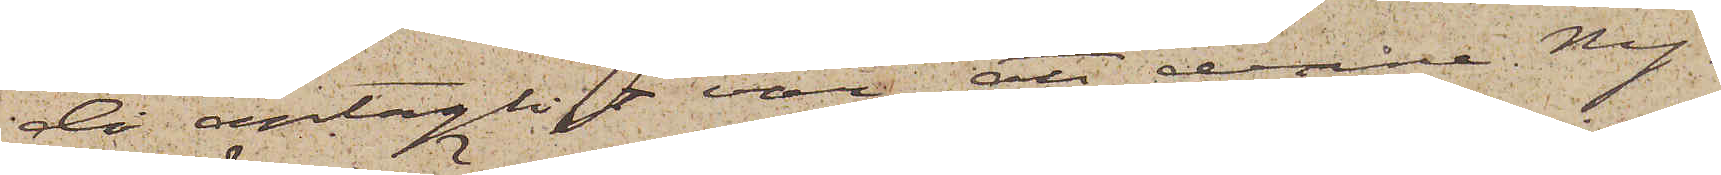då antagligt var, att denne Ny¬
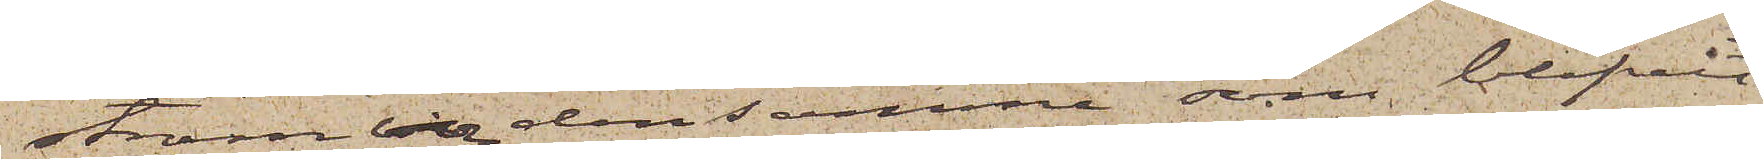ström vore den samma, som blifvit
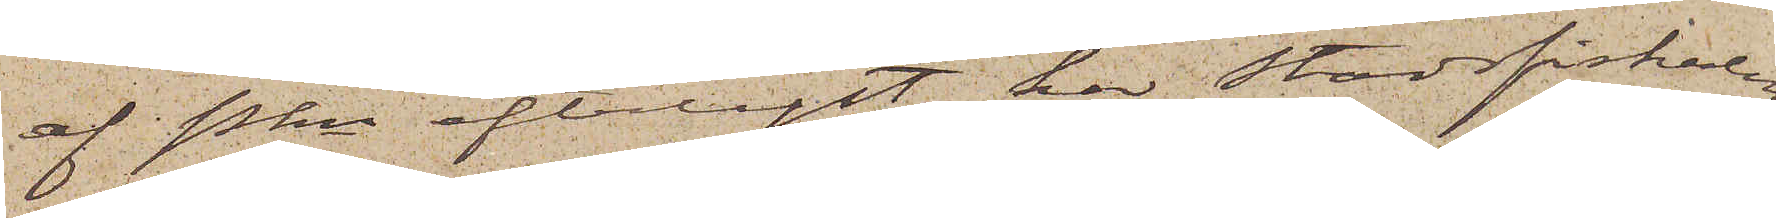af Pkn efterlyst, har Stadsfiskalen
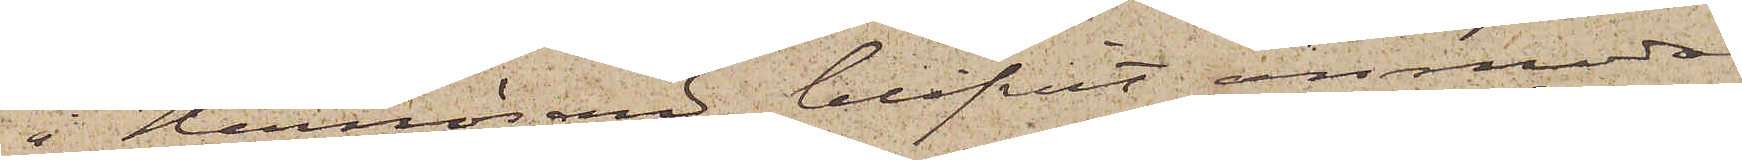i Hernösand blifvit anmodad
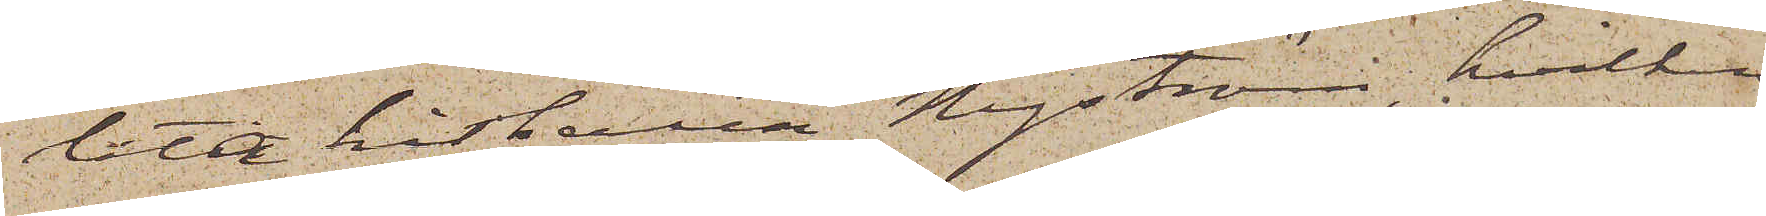låta hitsända Nyström, hvilken
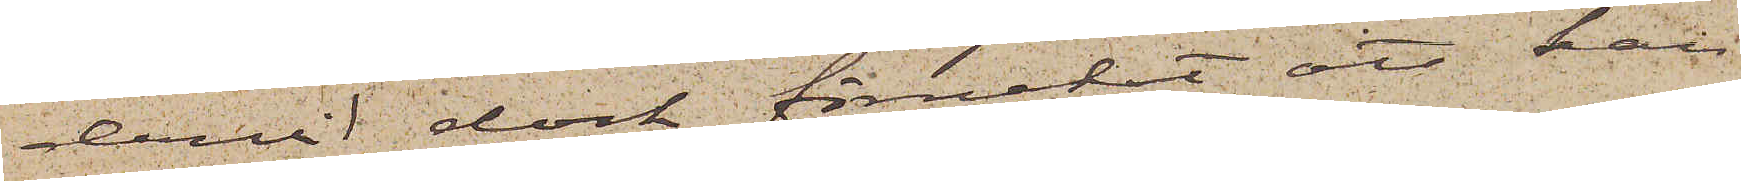dervid dock förnekat att han
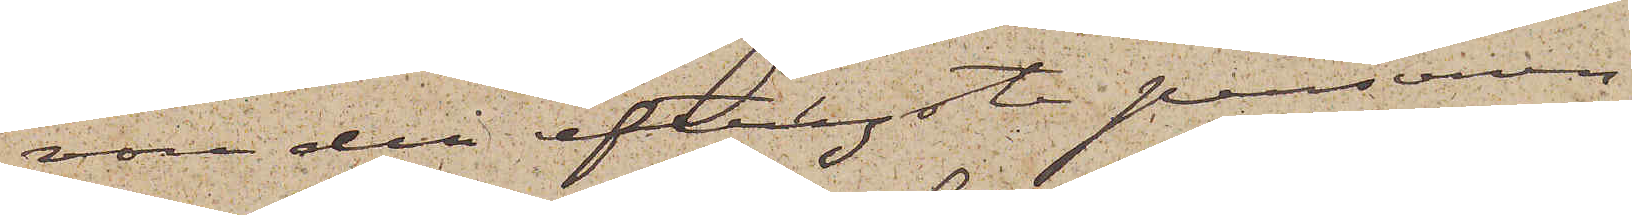vore den efterlyste personen.
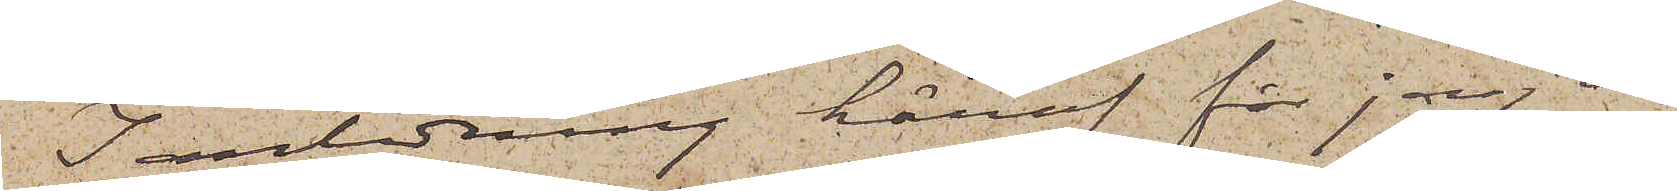I anledning häraf får jag an¬
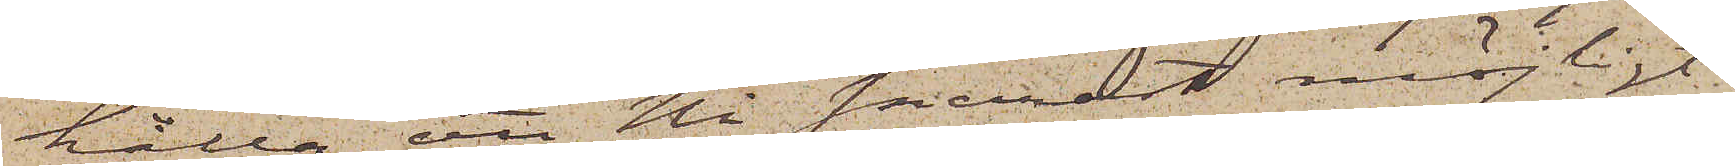hålla att Ni snarast möjligt
